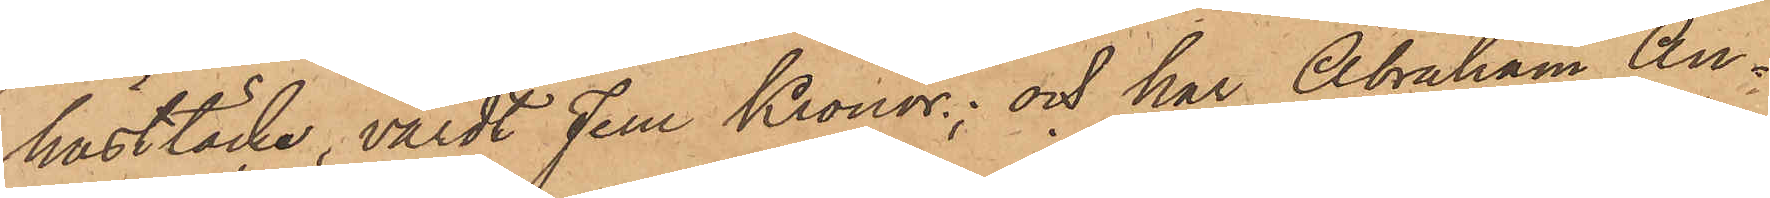hästtäcke, värdt Fem Kronor; och har Abraham An¬
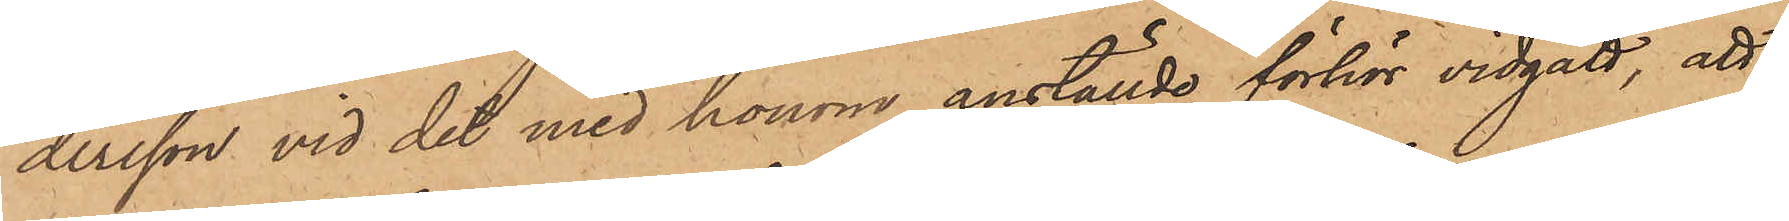dersson vid det med honom anställde förhör vidgått, att
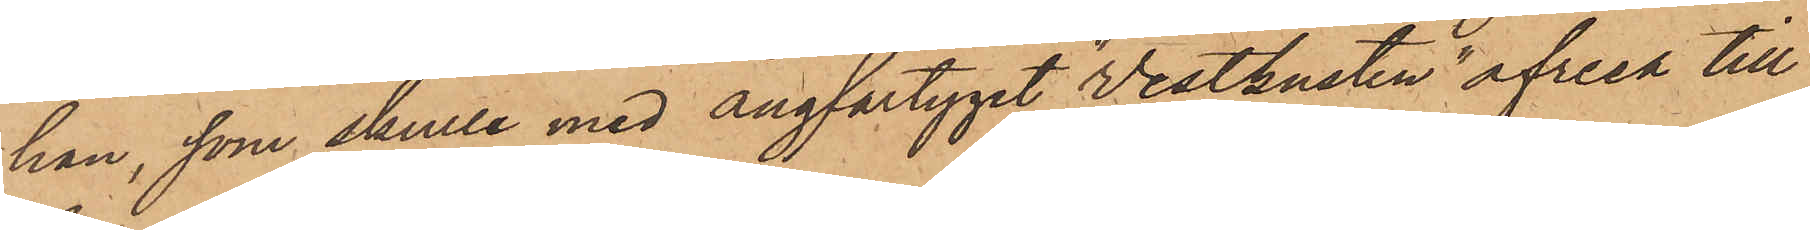han, som skulle med ångfartyget "Westkusten" afresa till
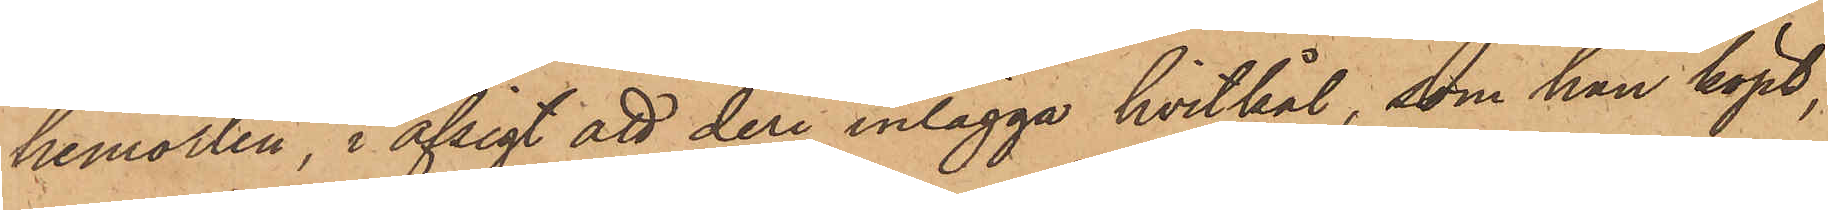hemorten, i afsigt att deri inlägga hvitkål, som han köpt,
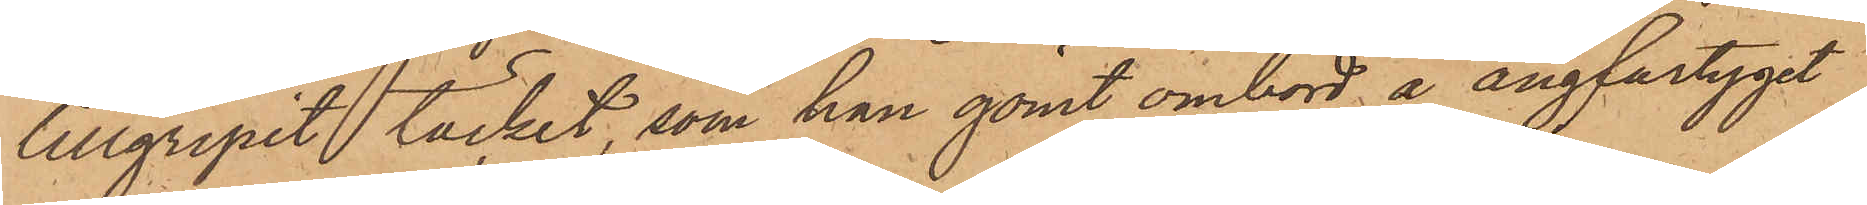tillgripit täcket, som han gömt ombord å ångfartyget
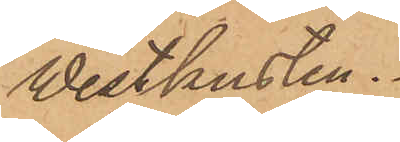Westkusten.
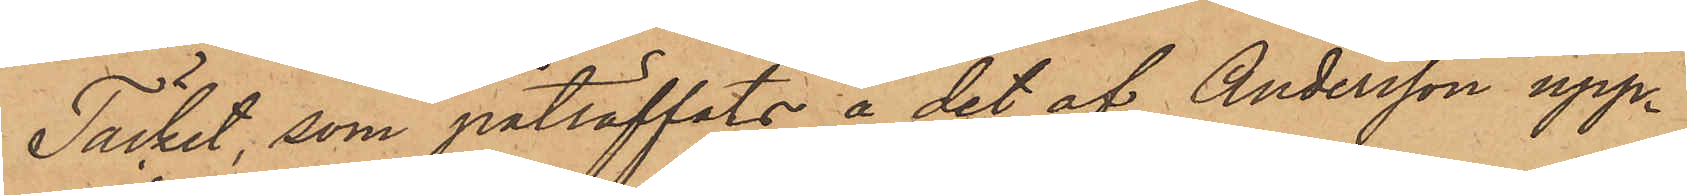Täcket, som påträffats å det af Andersson upp¬
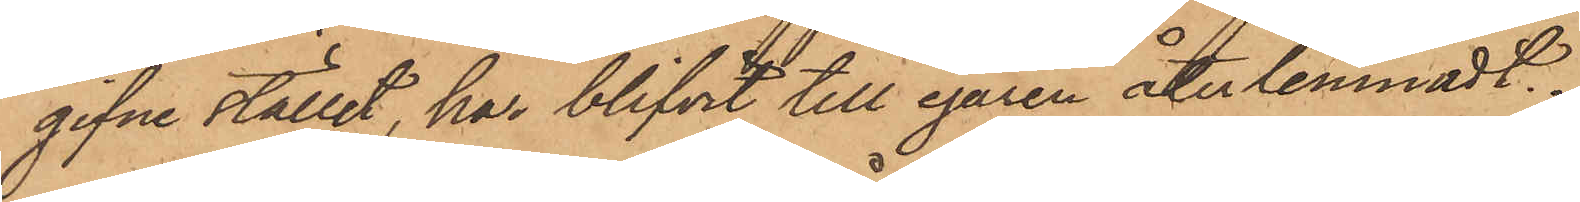gifne stället, har blifvit till egaren återlemnadt.
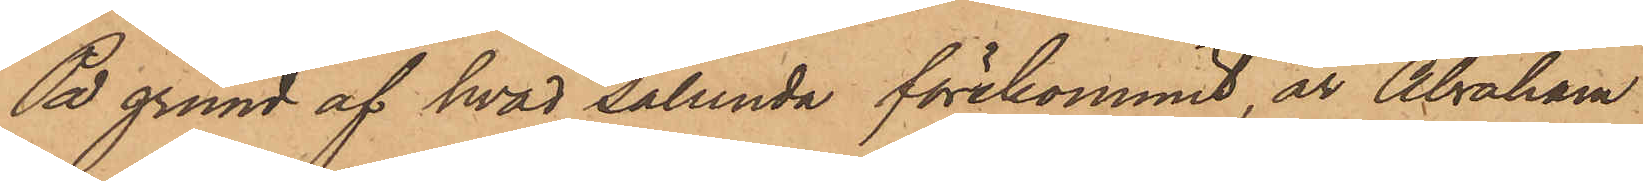På grund af hvad sålunda förekommit, är Abraham
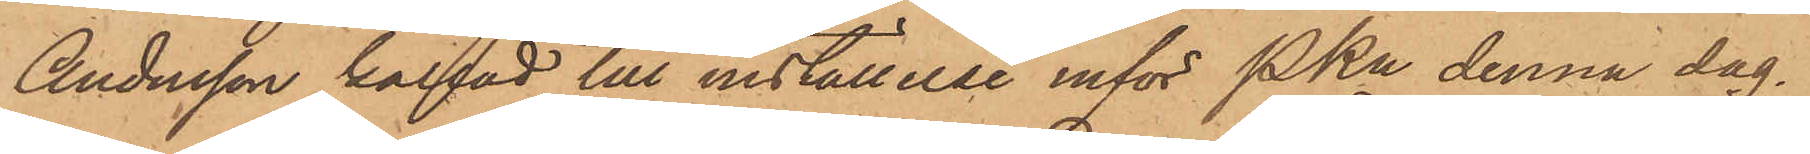Andersson kallad till inställelse inför Pkn denna dag.
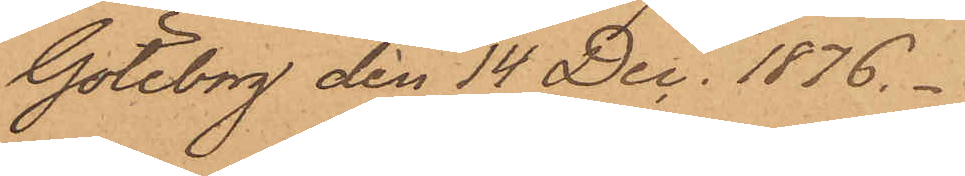Göteborg den 14 Dec. 1876.
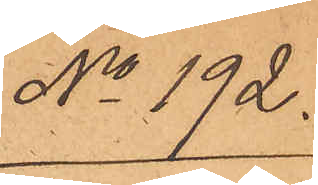No 192.
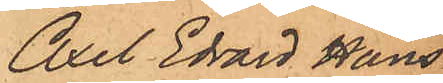Axel Edvard Hans¬
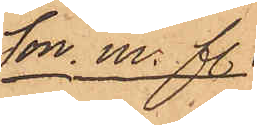son. m. fl.
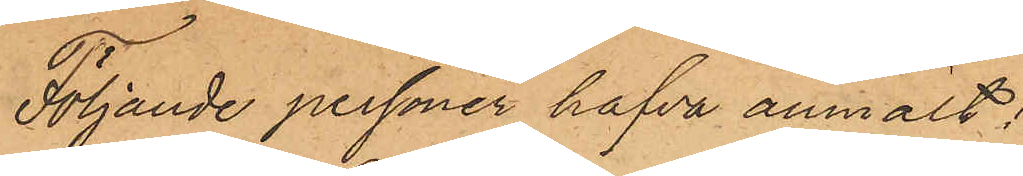Följande personer hafva anmält:
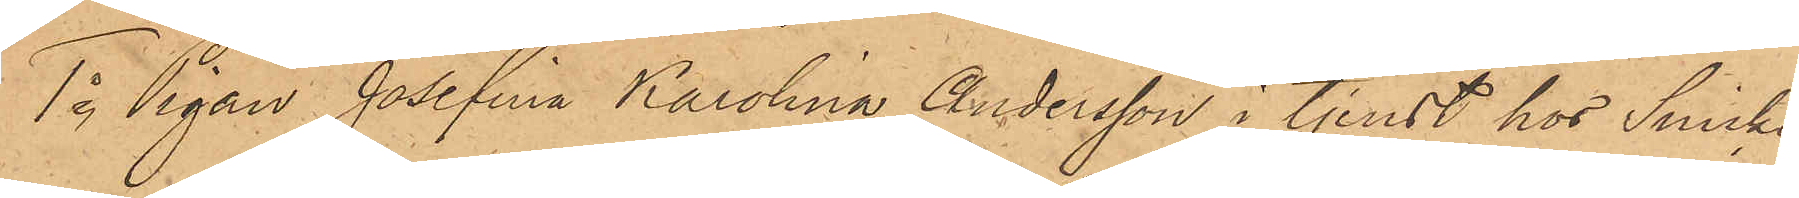1o Pigan Josefina Karolina Andersson i tjenst hos Snicka¬
